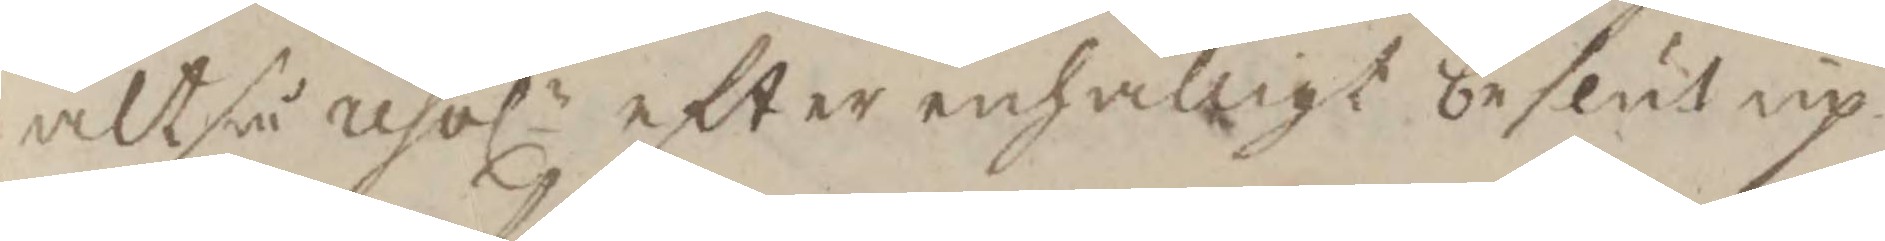altså resol efter enhäligt beslut up¬
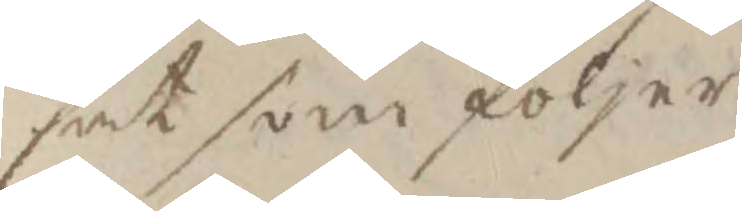sat som följer.
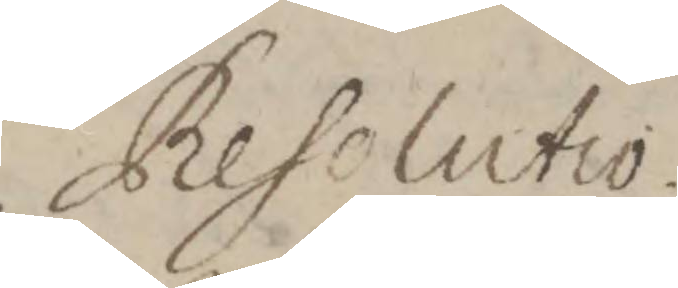Resolutio
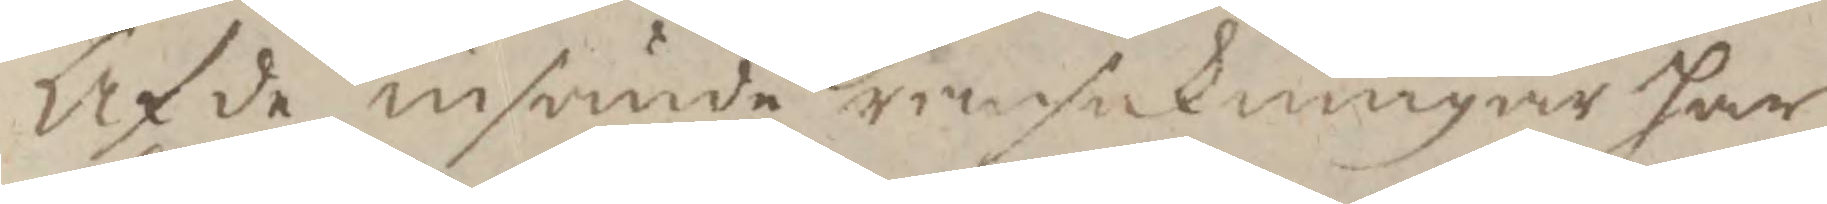Af de insända ransakningar har
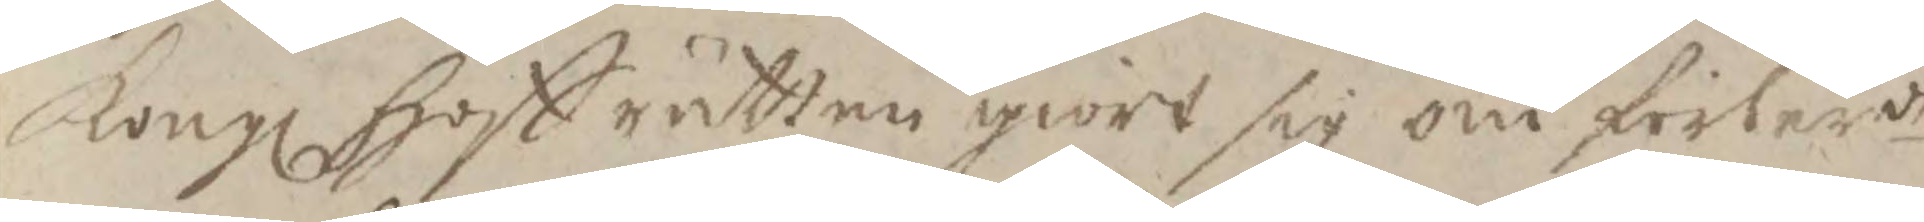Kongl Hoffrätten giort sig om sielfwa
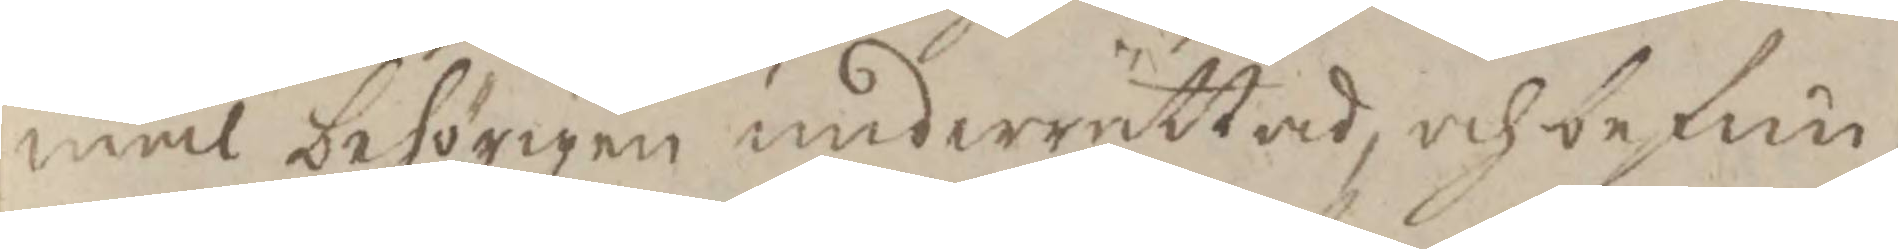mål behörigen underrättad, och befun¬
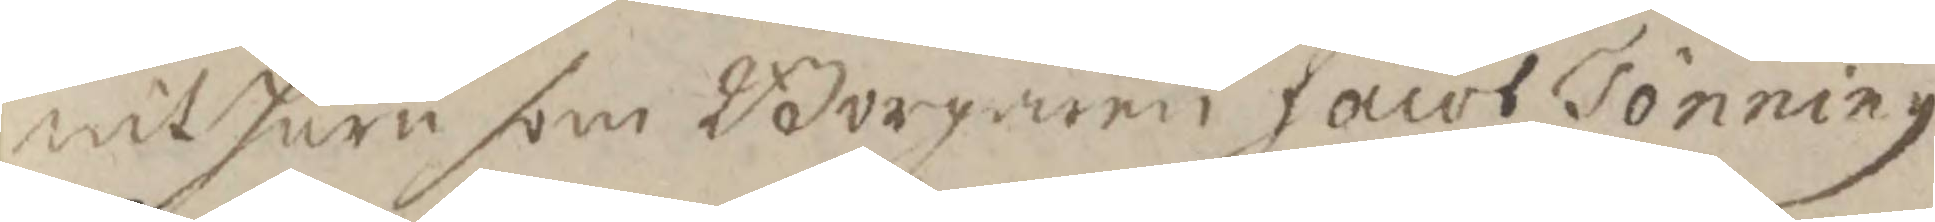nit huru som Borgaren Jacob Tönning
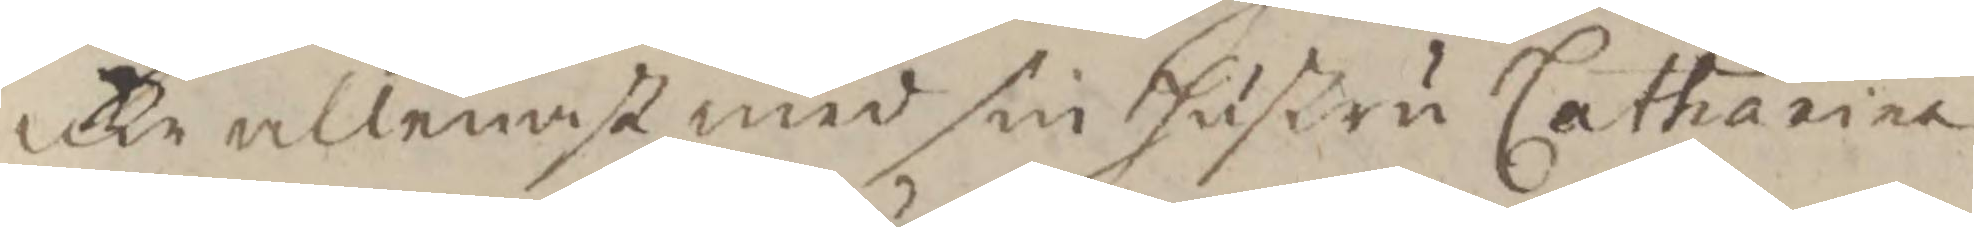icke allenast med sin hustru Catharina
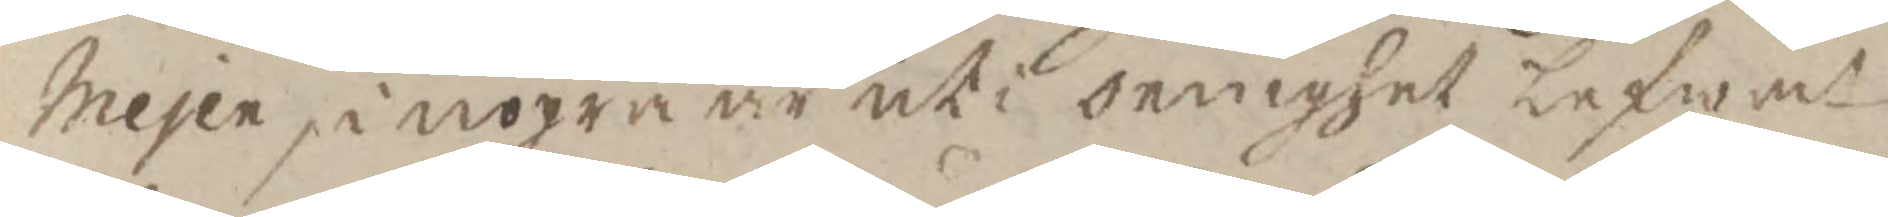Mejer i nogra år uti oenighet lefwat
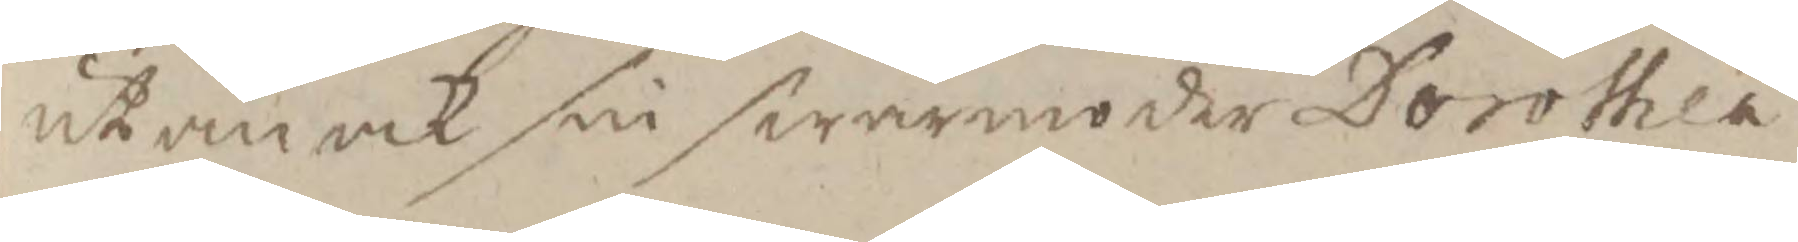utan och sin swärmoder Dorothea
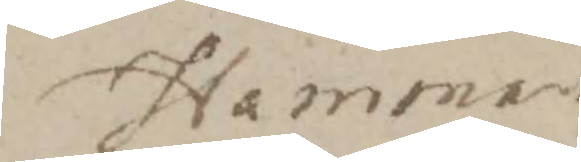Hammar
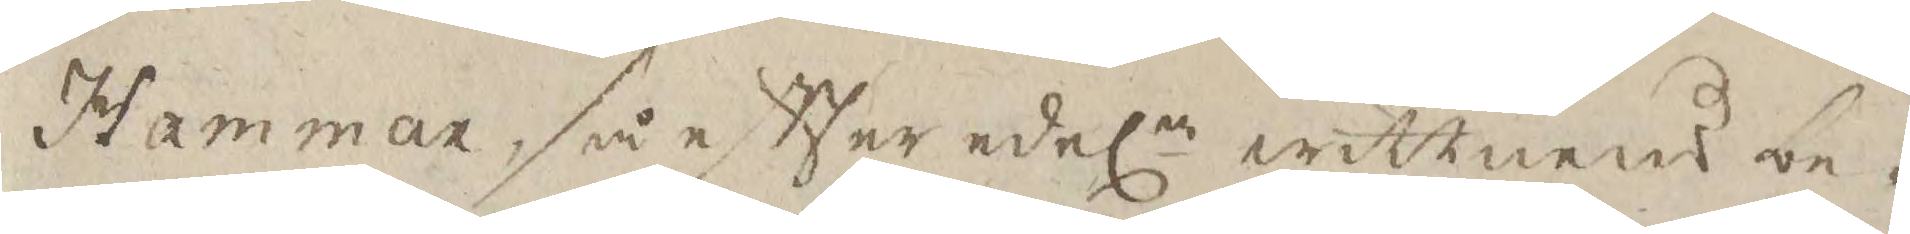Hammar, så eftter edeln wittnes be¬
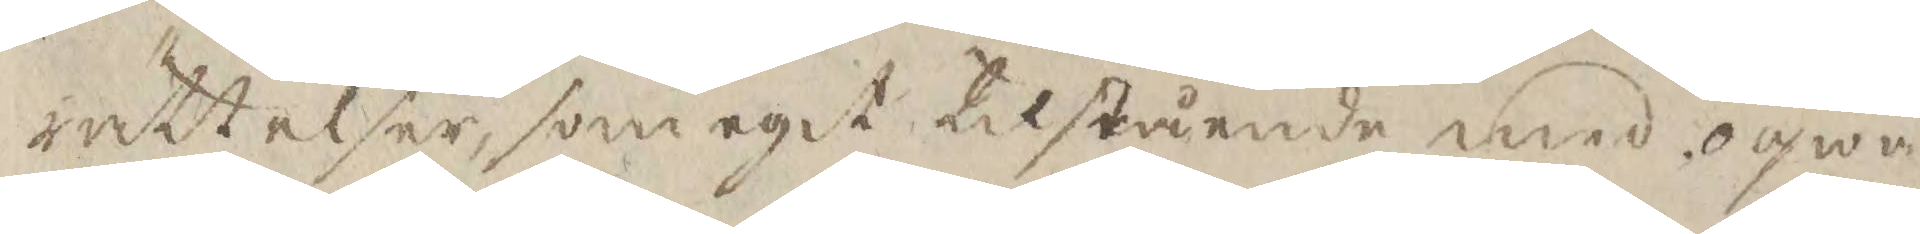rättelser, som egit tilstående med oqwä¬
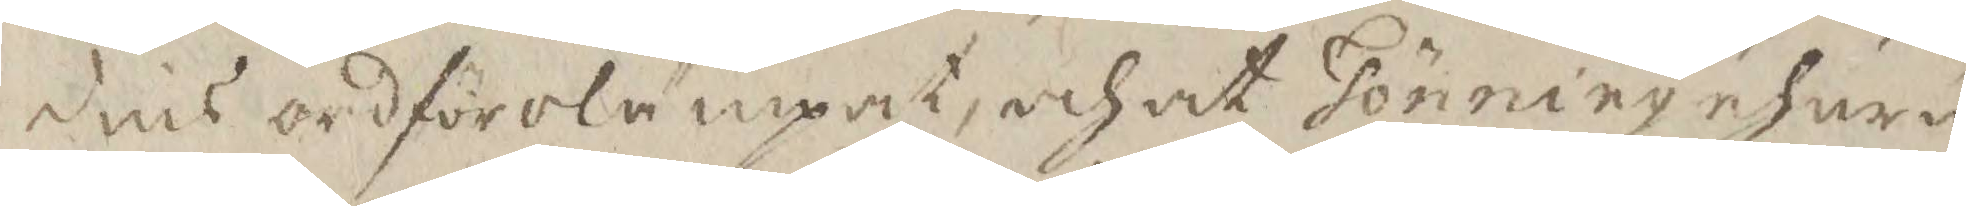dins ord förolämpat, och at Tönning ehuru
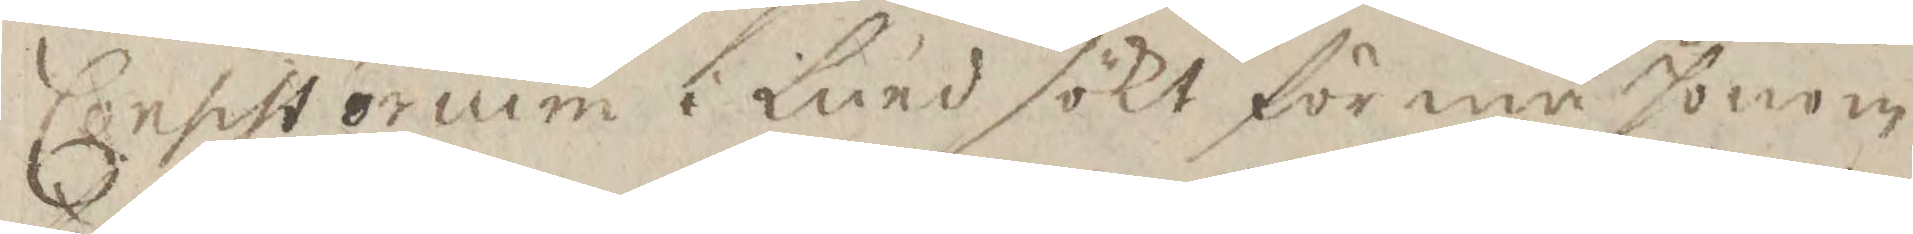Consistorium i Lund sökt förmå honom
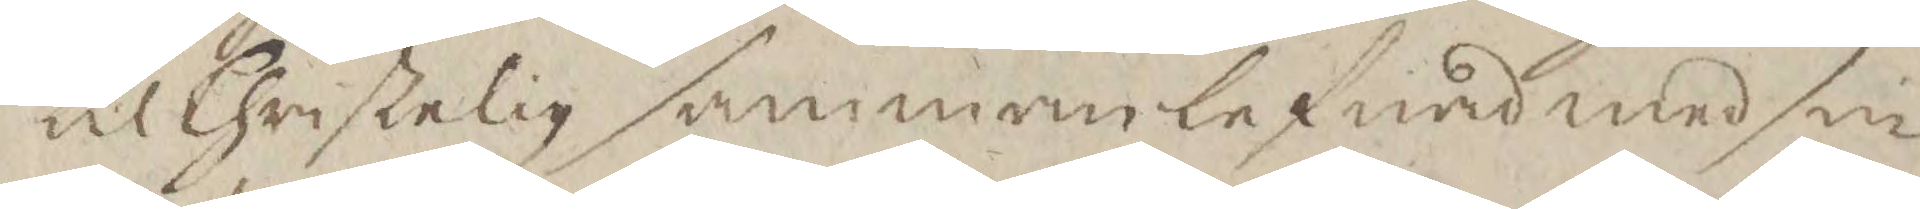til Christelig sammanlefnad med sin
